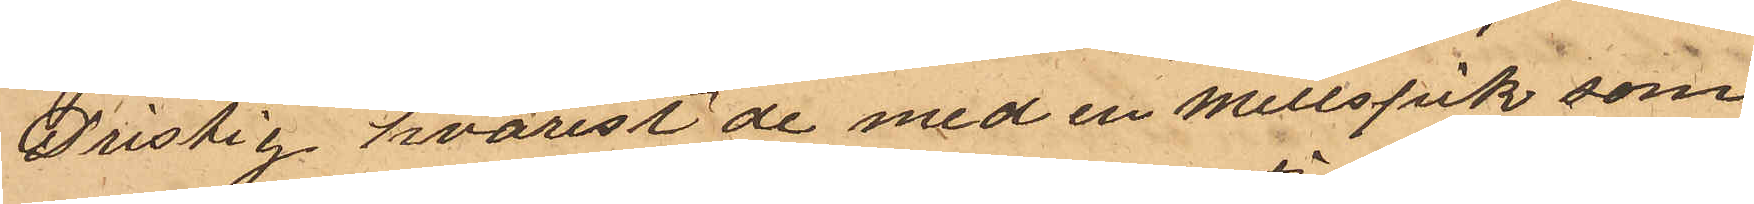Dristig, hvarest de med en mellspik, som
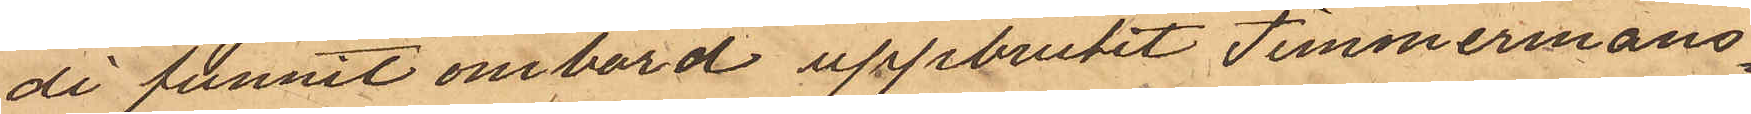de funnit ombord uppbrutit Timmermans¬
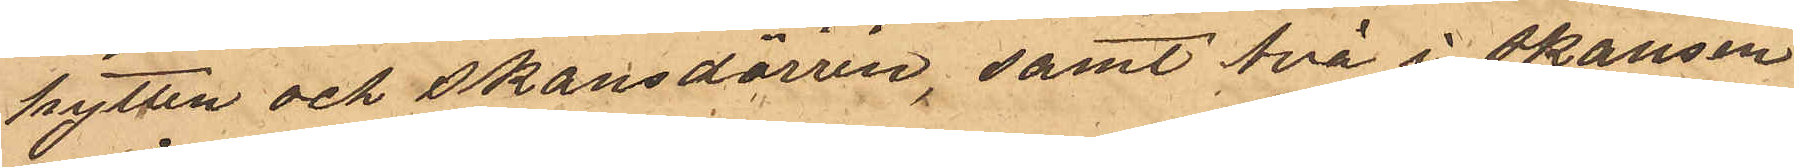hytten och skansdörren, samt två i Skansen
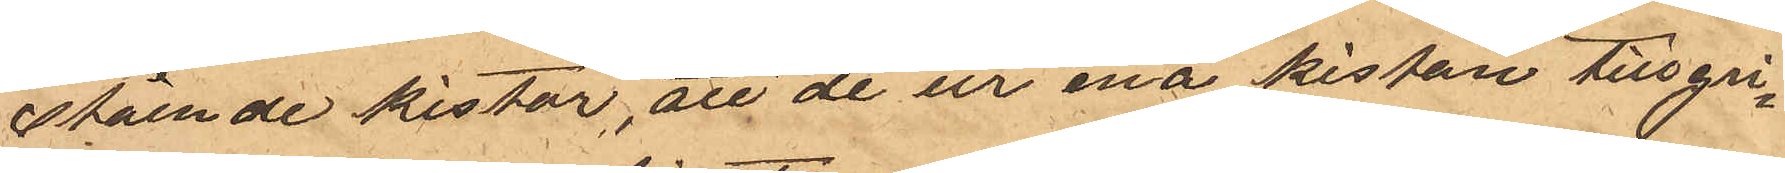stående kistor, att de ur ena kistan tillgri¬
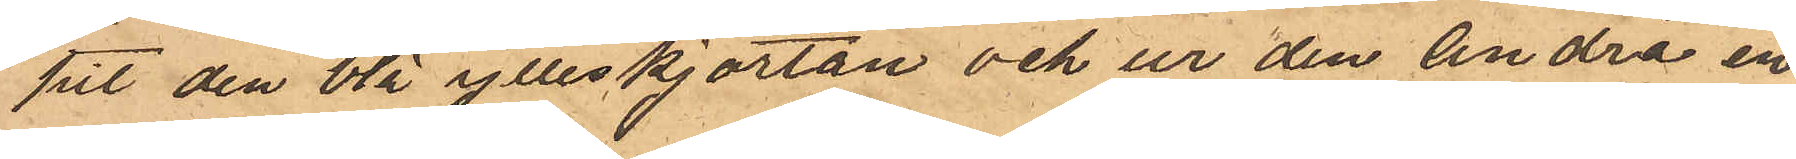pit den blå ylleskjortan och ur den andra en
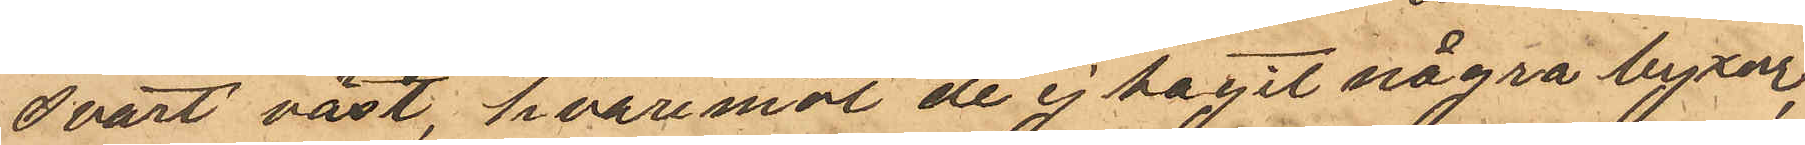svart väst, hvaremot de ej tagit några byxor,
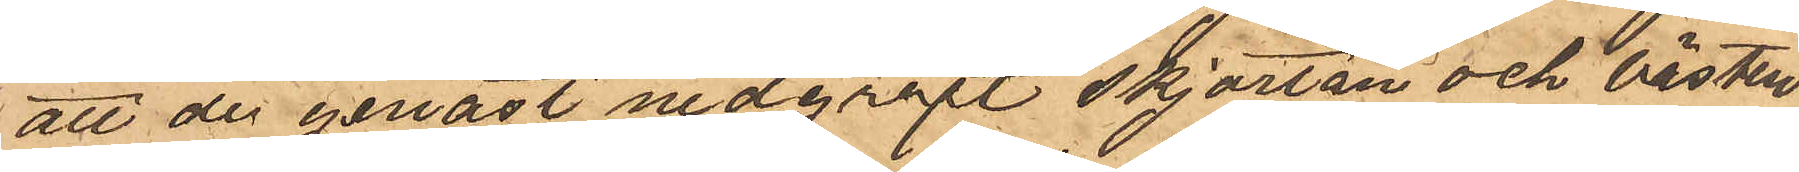att de genast nedgrävt skjortan och västen
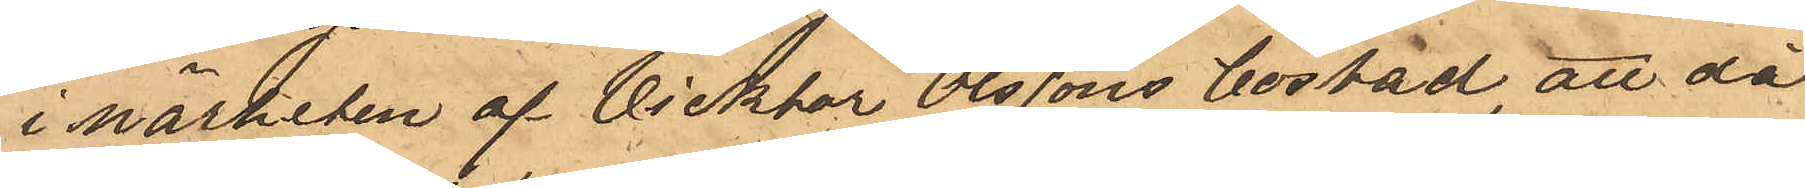i närheten af Vicktor Olssons bostad, att då
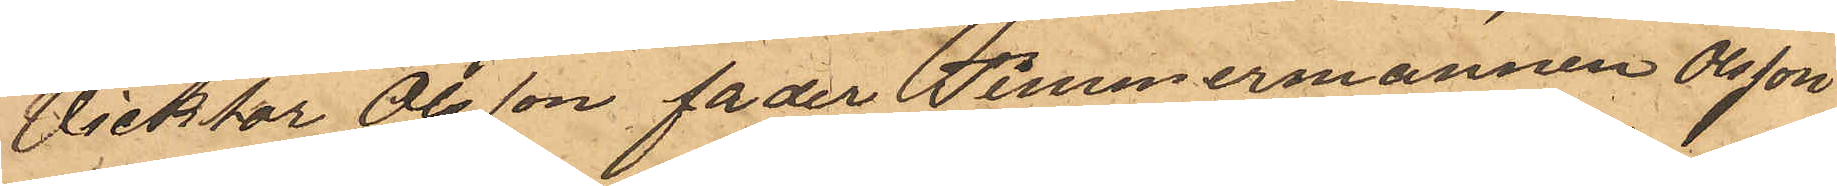Vicktor Olsson fader Timmermannen Olsson
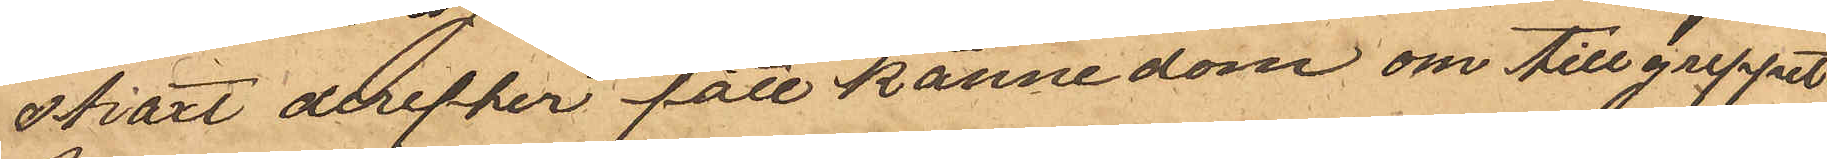straxt derefter fått kännedom om tillgreppet
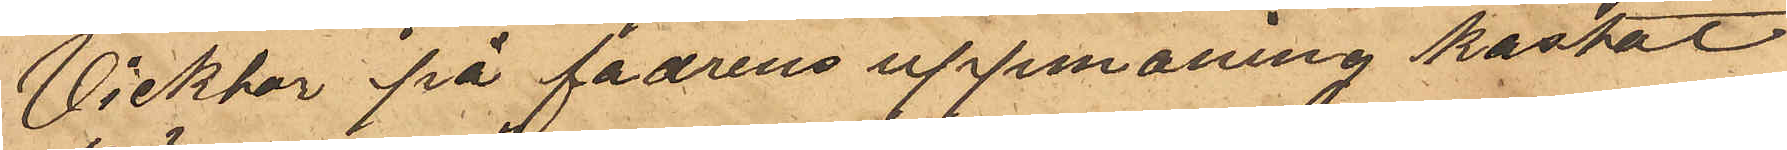Vicktor på fadrens uppmaning kastat
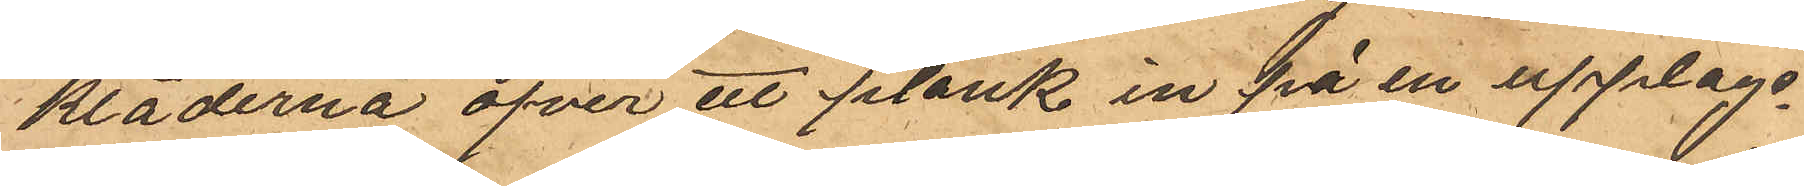kläderna öfver ett plank in på en upplags¬
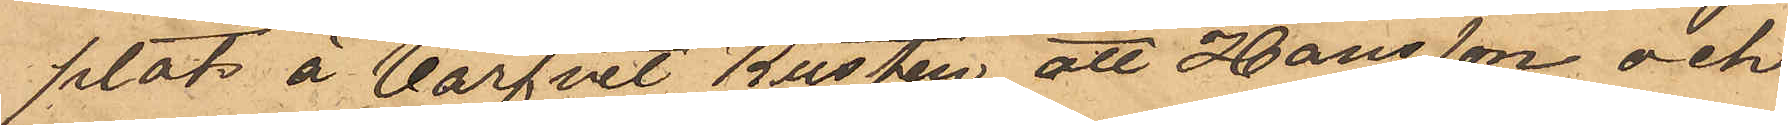plats å Varfvet Kusten, att Hansson och
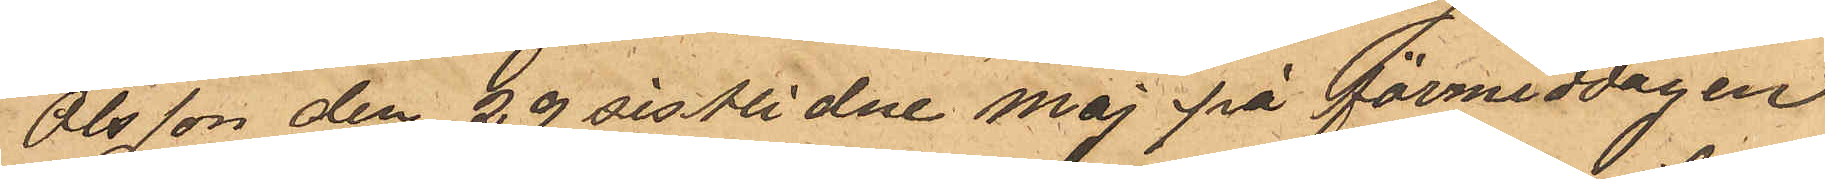Olsson den 29 sistlidne Maj på förmiddagen
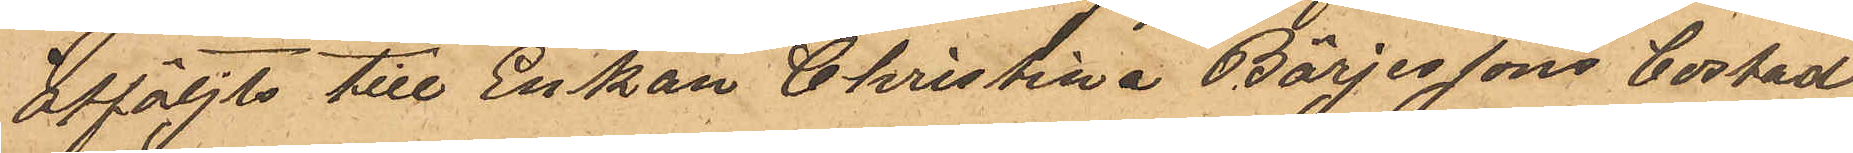åtföljts till Enkan Christina Börjessons bostad
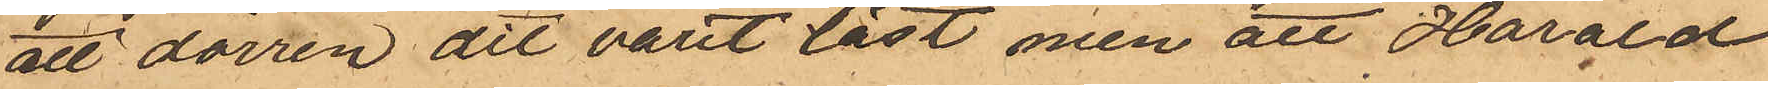att dörren dit varit låst, men att Harald
